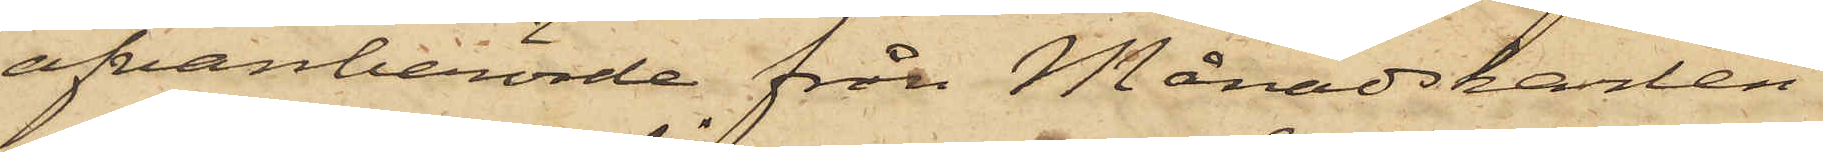ofvanberörde från Månadskarlen
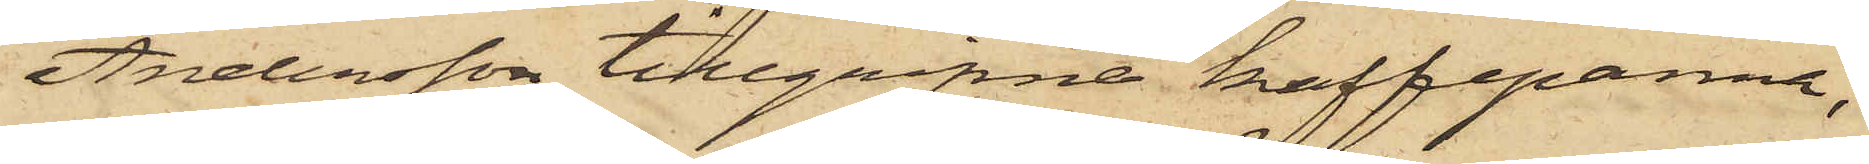Andersson tillgripne kaffepanna,
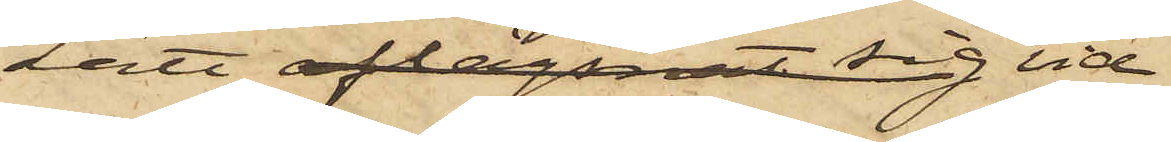Lätt aflägsnat sig vid
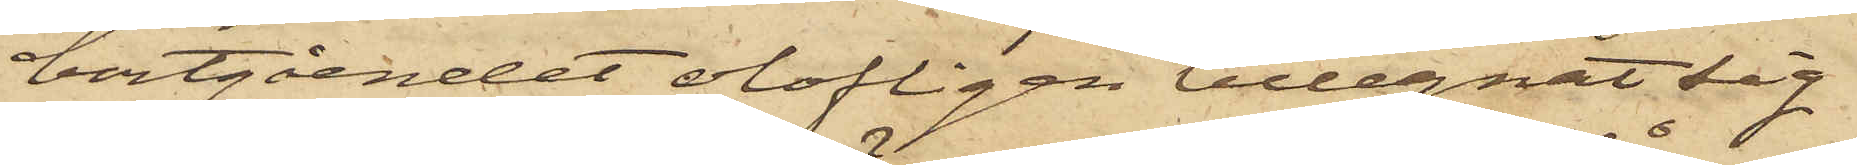bortgåendet olofligen tillegnat sig
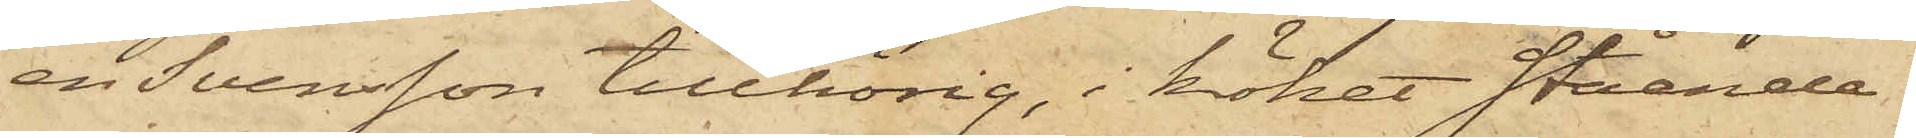en Svensson tillhörig, i köket stående
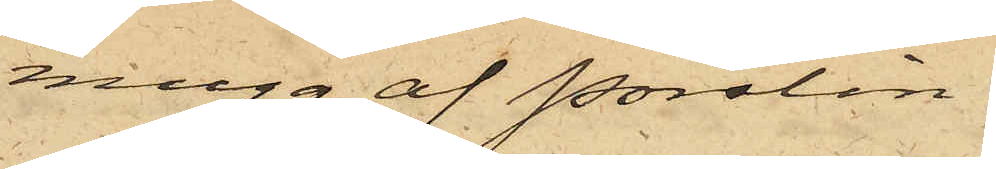mugg af Porslin.
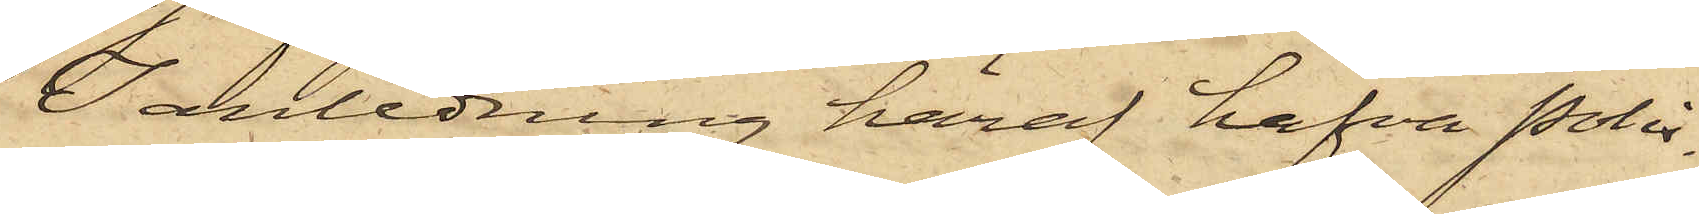I anledning häraf hafva Polis¬
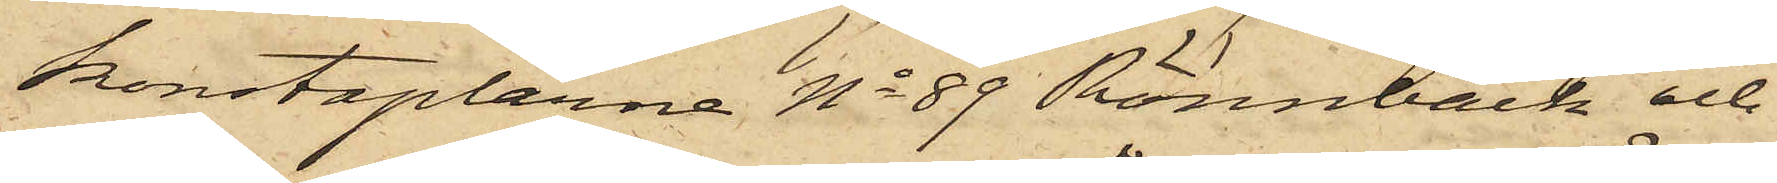konstaplarne No 89 Rönnbäck och
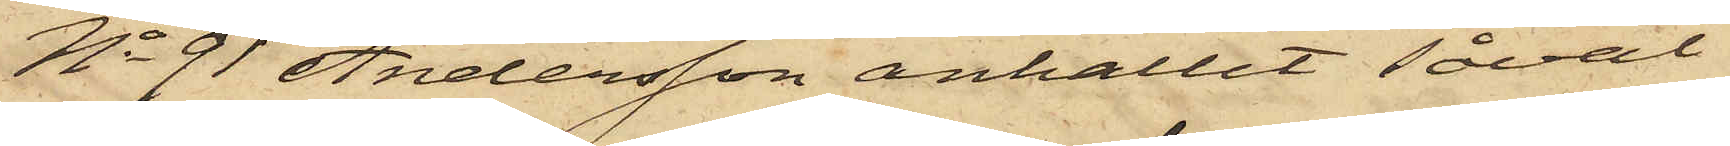No 91 Andersson anhållit såväl
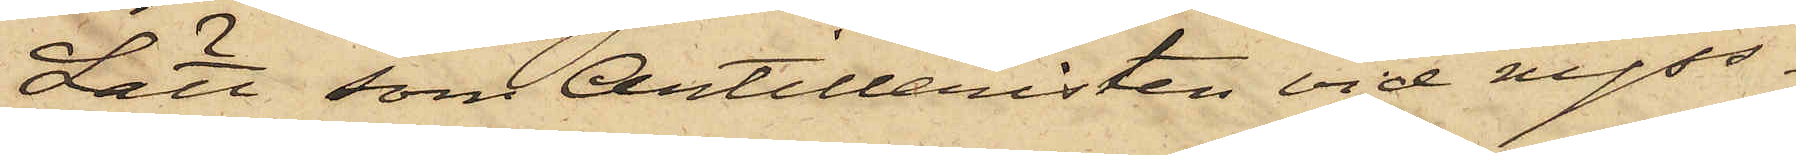Lätt som Artilleristen vid nyss¬
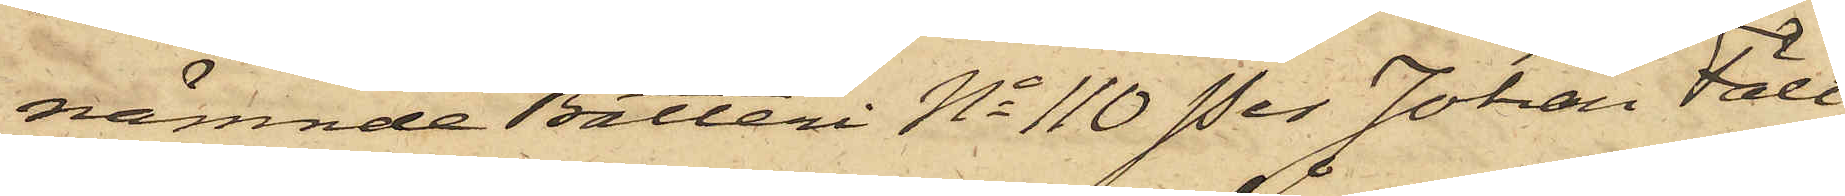nämnde Batteri No 110 Per Johan Fält,
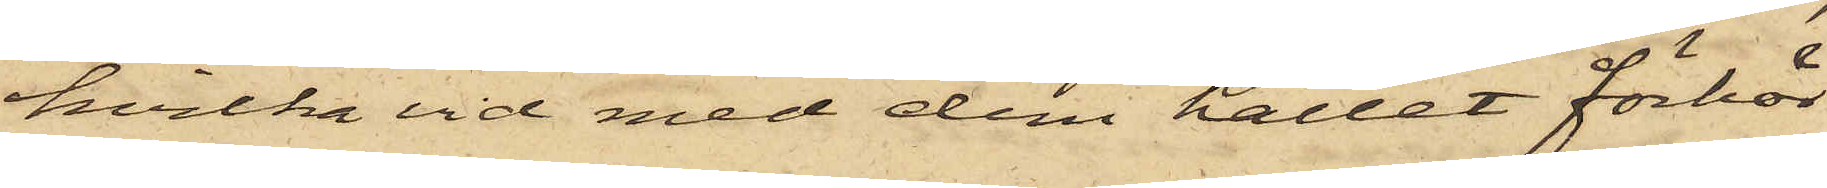hvilka vid med dem hållet förhör
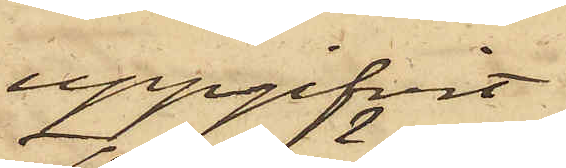uppgifvit
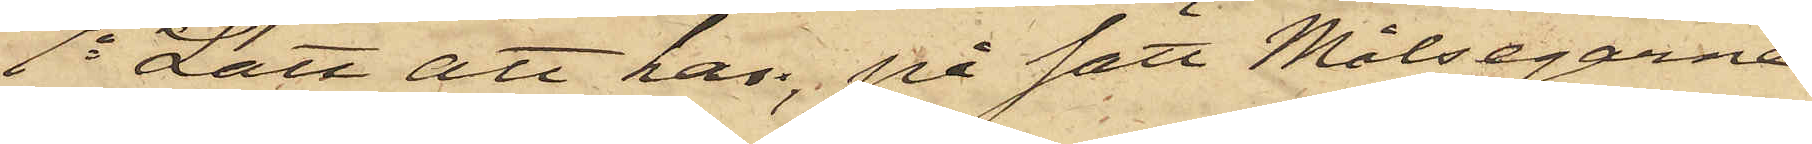1o Lätt att han, på sätt Målsegarne
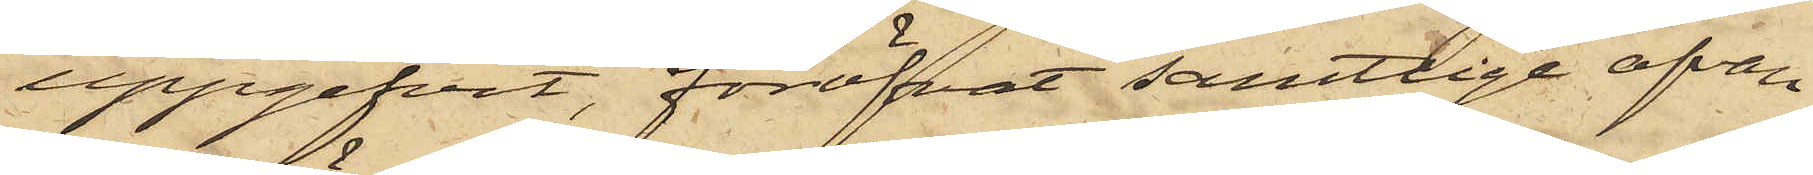uppgifvit, föröfvat samtlige ofvan
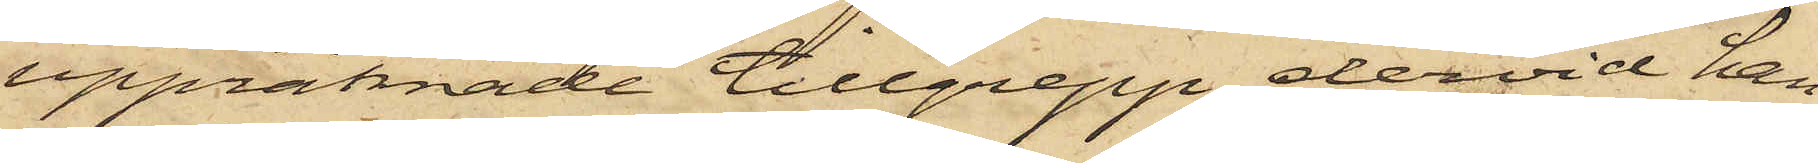uppräknade tillgrepp dervid han
